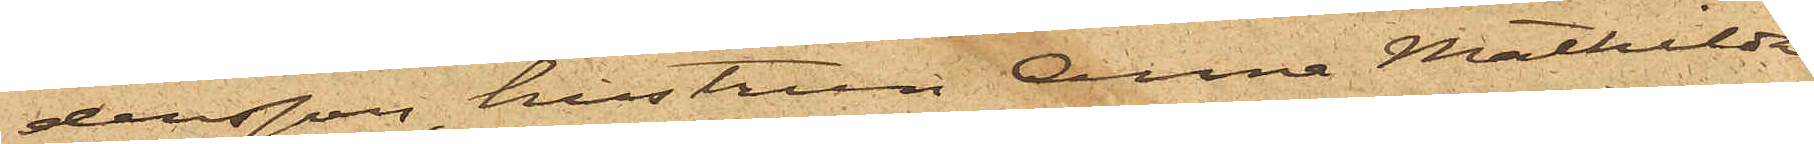dersson, hustrun Anna Mathilda
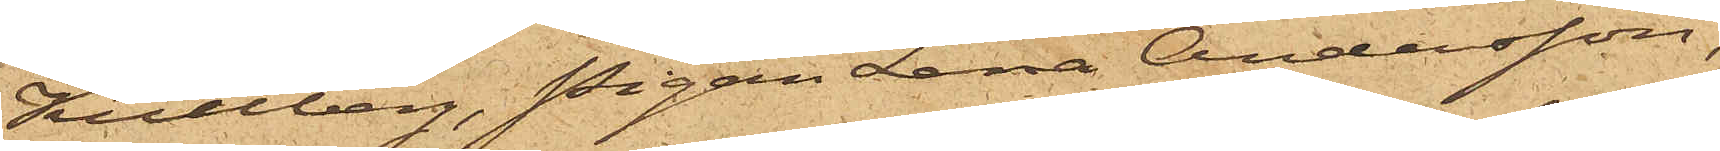Kullberg, Pigan Lena Andersson,
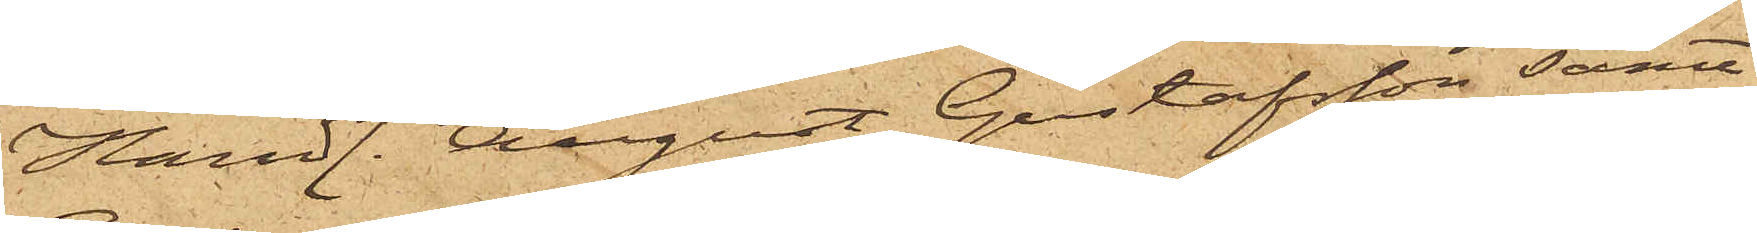Handl. August Gustafsson, samt
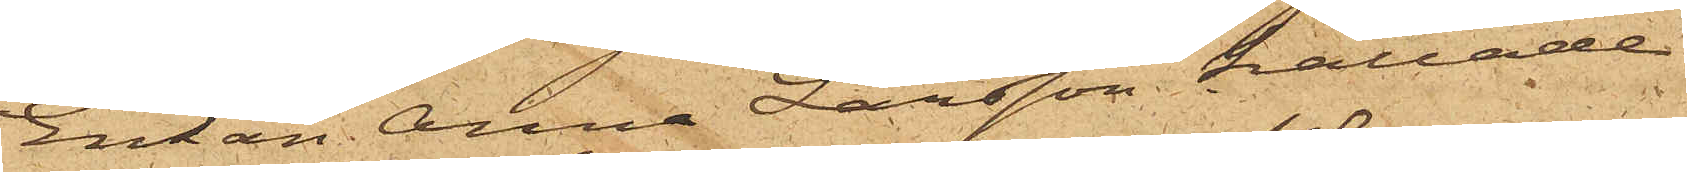Enkan Anna Larsson kallade
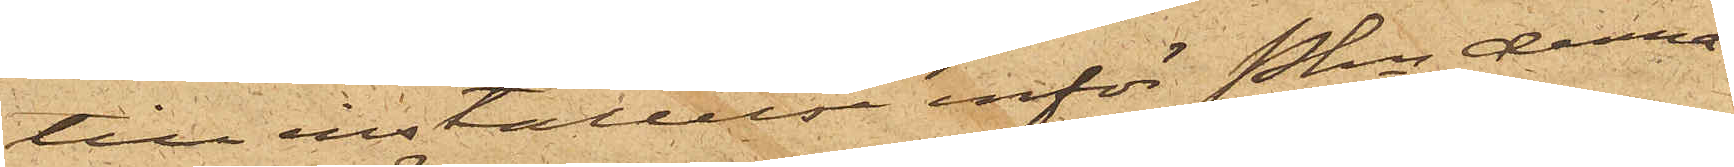till inställelse inför Pkn denna
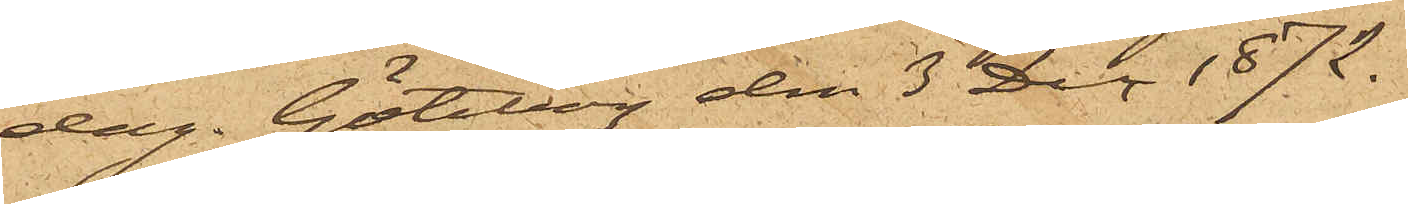dag. Göteborg den 3 Dec 1872.
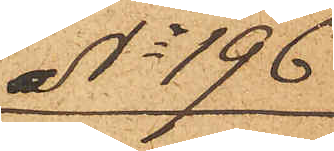No 196
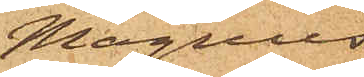Magnus
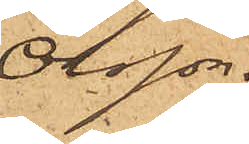Olsson.
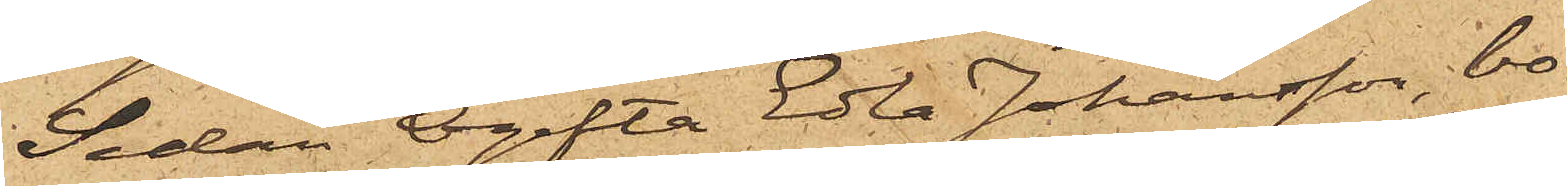Sedan Ogifta Edla Johansson, bo¬
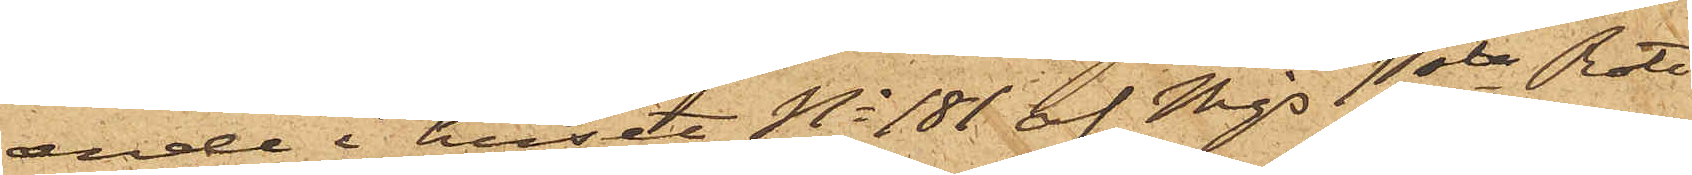ende i huset No 181 af Mjs 1sta Rote
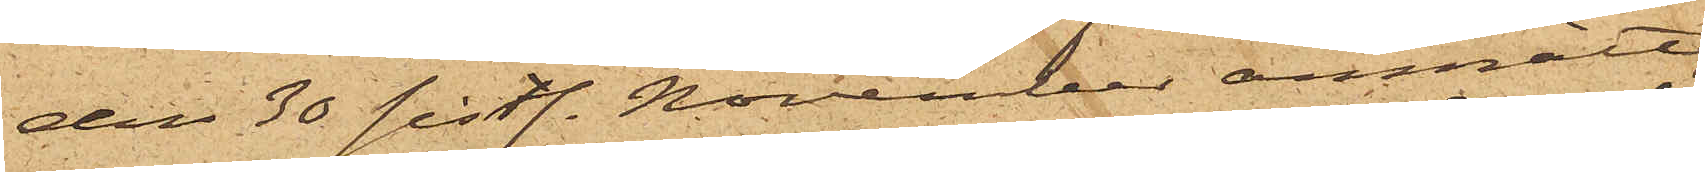den 30 sistl. November anmält,
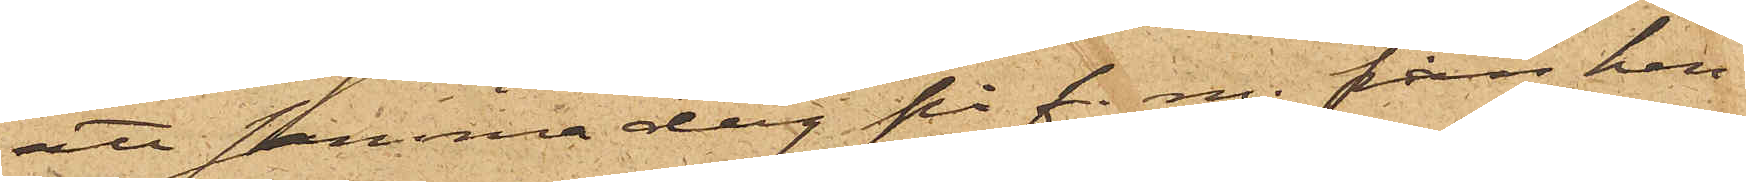att samma dag på f. m. från hen¬
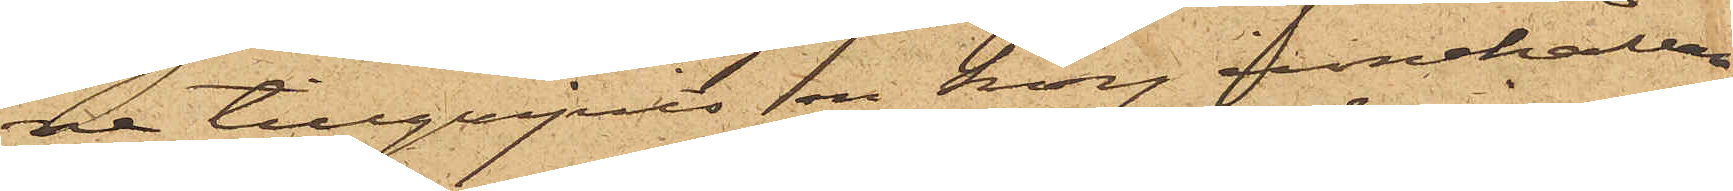ne tillgripits en korg innehållan¬
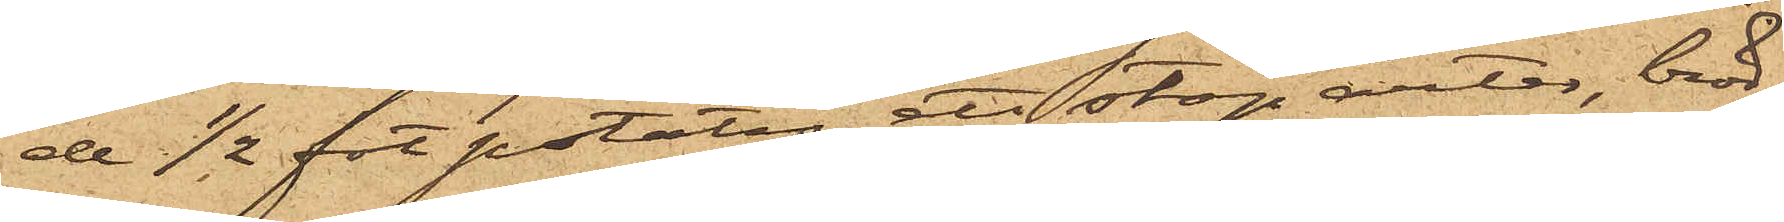de 1/2 fot potatis, ett stop ärter, bröd
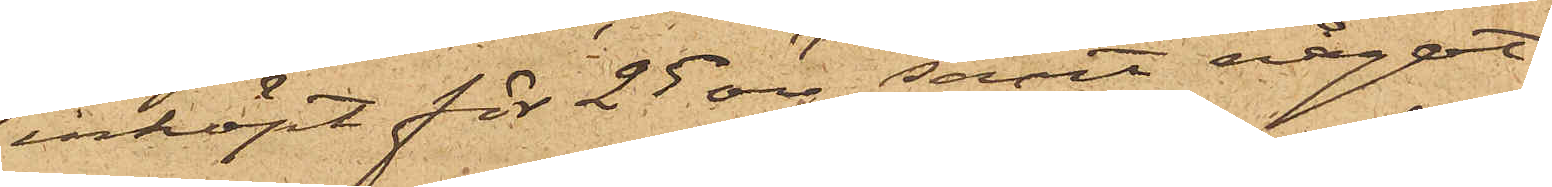inköpt för 25 öre samt något
